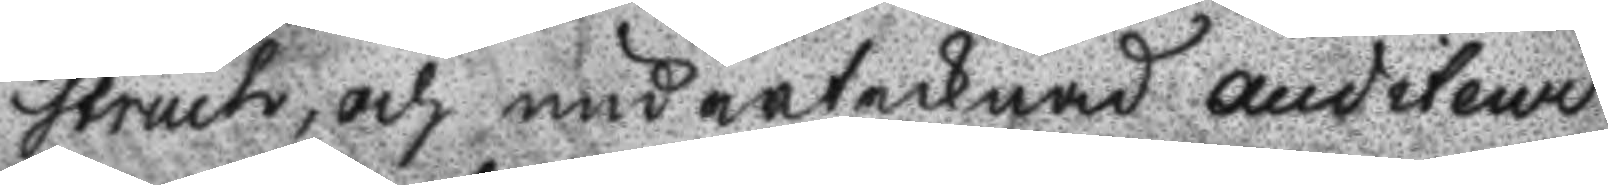struch, och undertecknad Auditeur
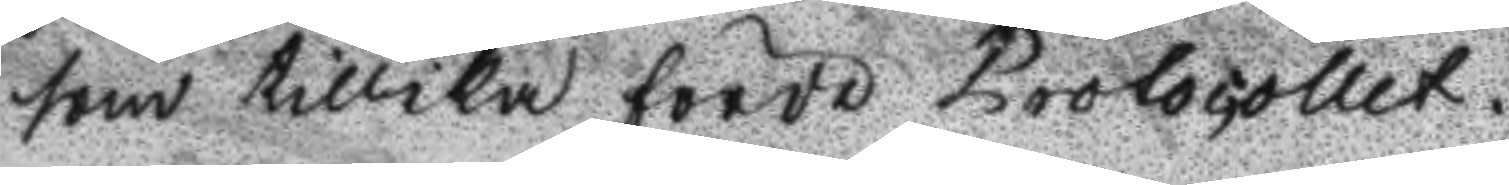som tillika förde Protocollet.
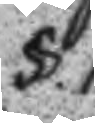§.1.
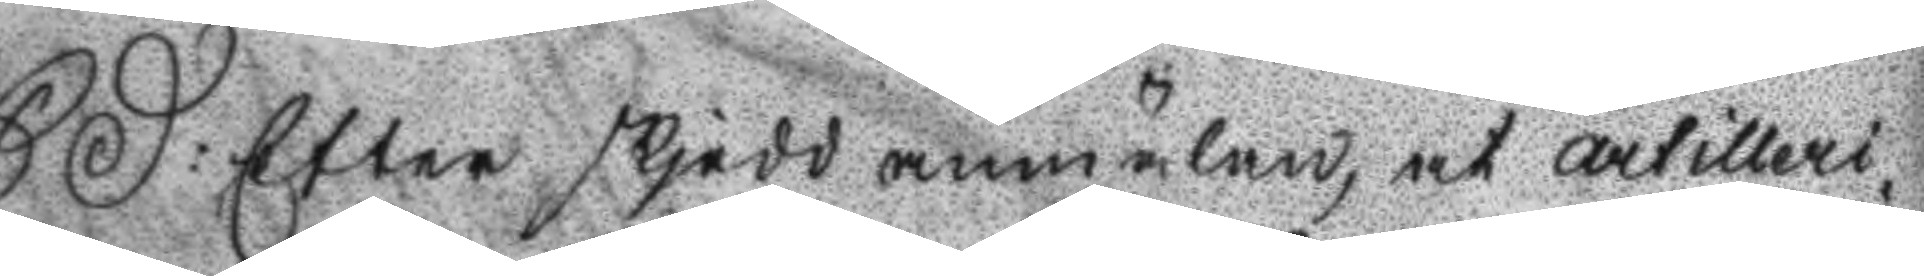SD: Efter skjedd anmälan, at artilleri¬
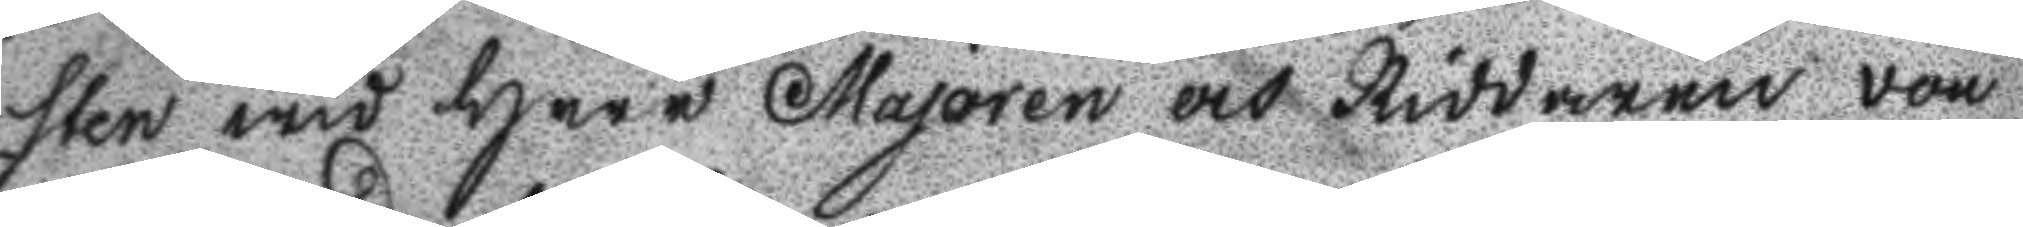sten wid Herr Majoren och Riddaren von
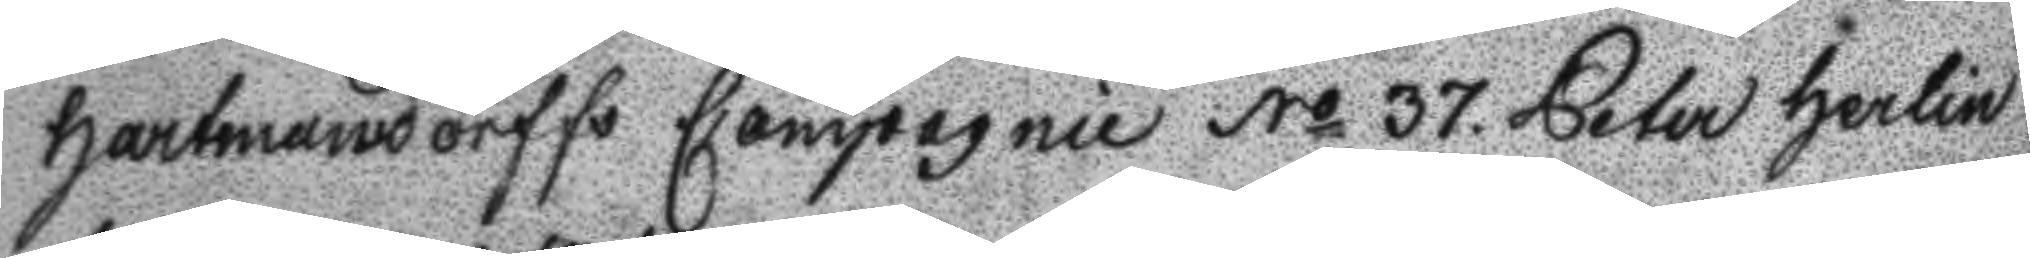Hartmandorffs Compagnie No 37. Peter Herlin
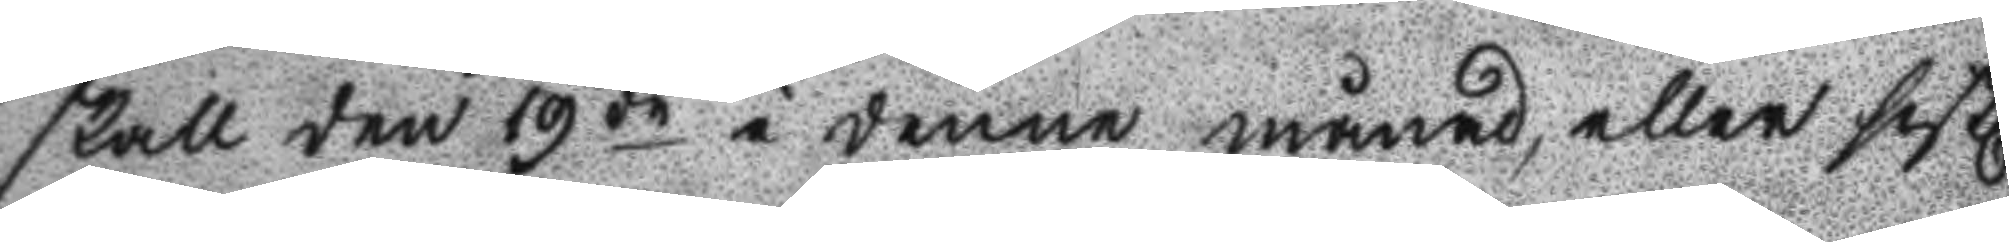skall den 19de i denne månad, eller sistl
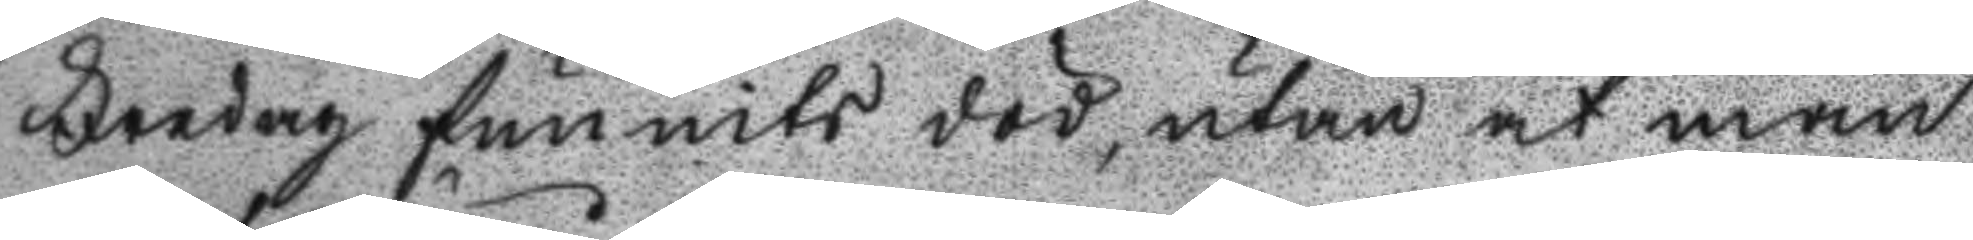Fredag funnits död, utan at man
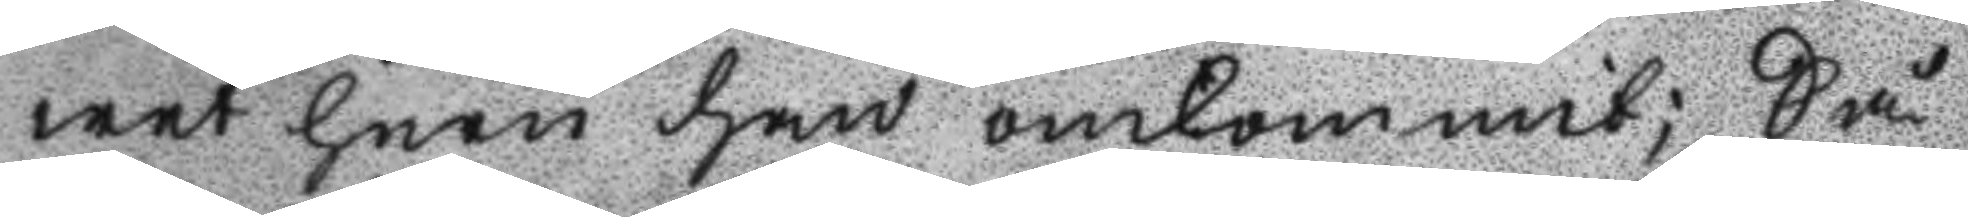wet huru han omkommit; Så
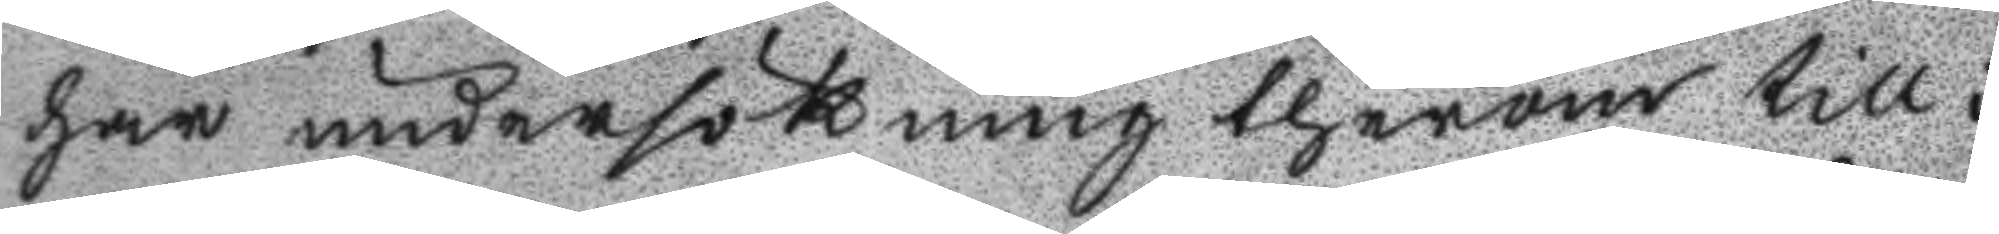har undersökning therom till i
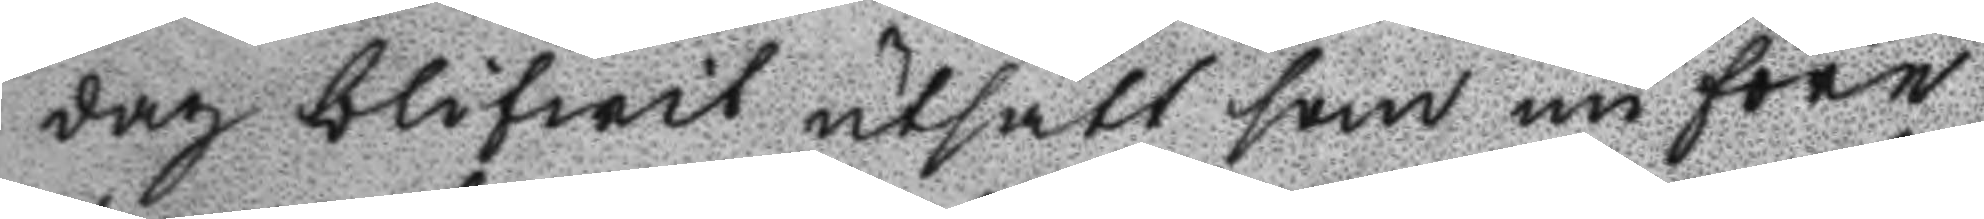dag blifwit utsatt som nu före
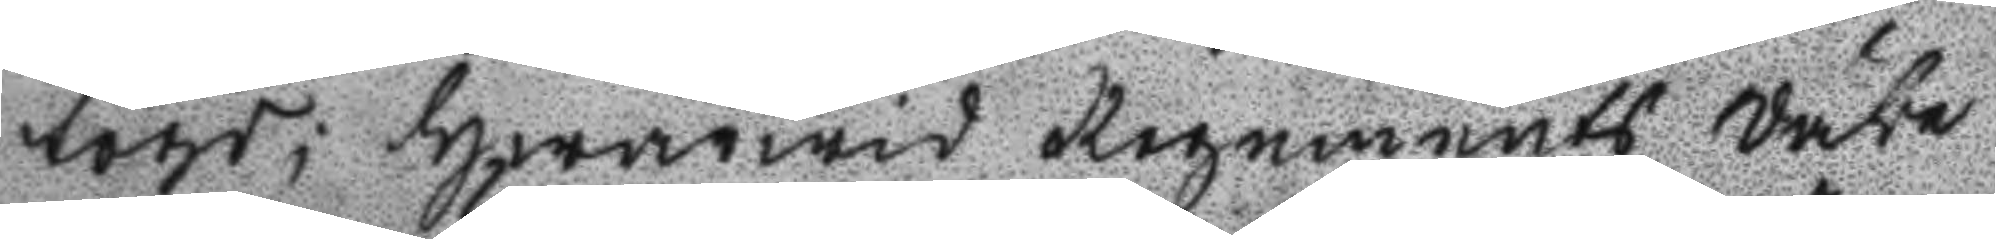togs; hwarwid Regements Väbe
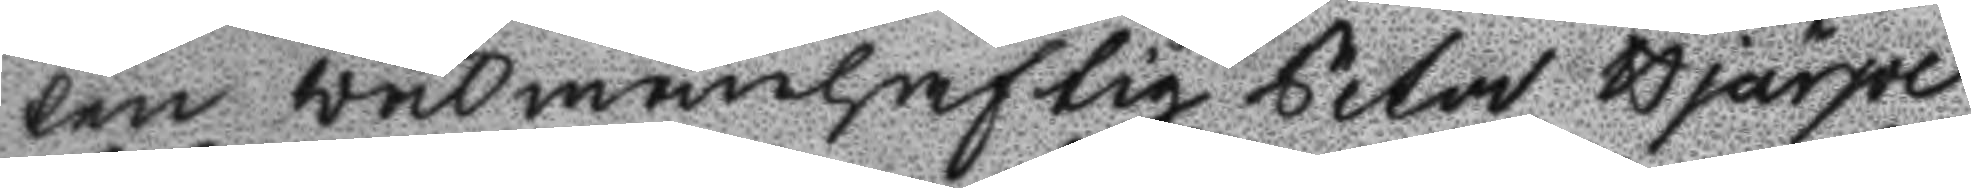len wälmanhaftig Peter Hjärpe
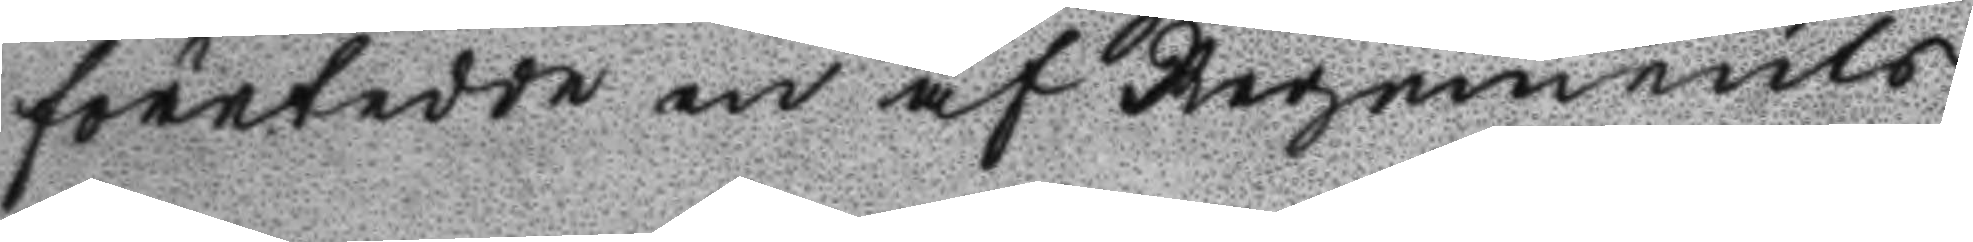företedde en af Regements
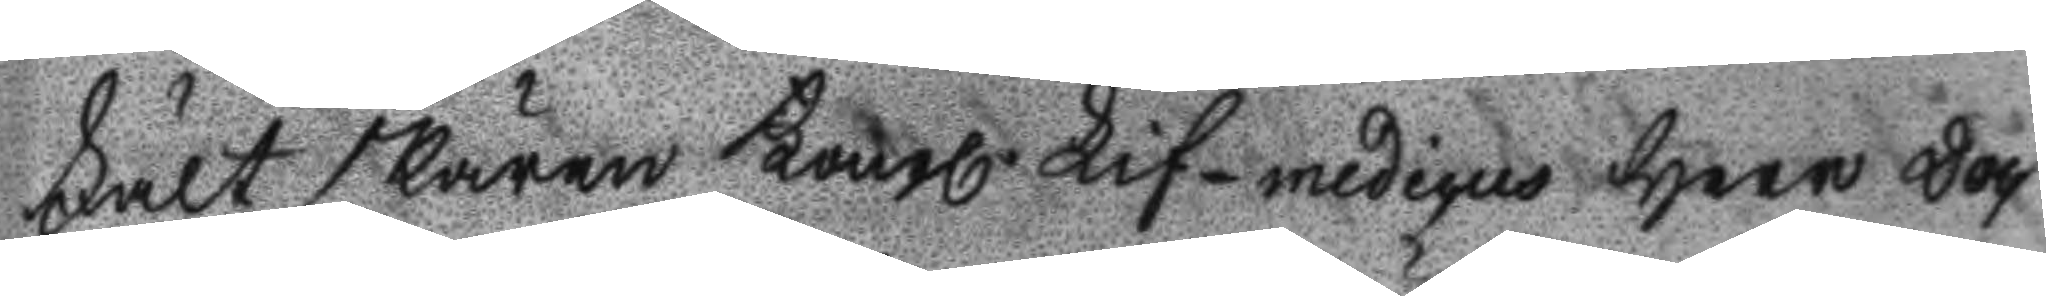Fältskären Kongl Lif-medicus Herr Doc
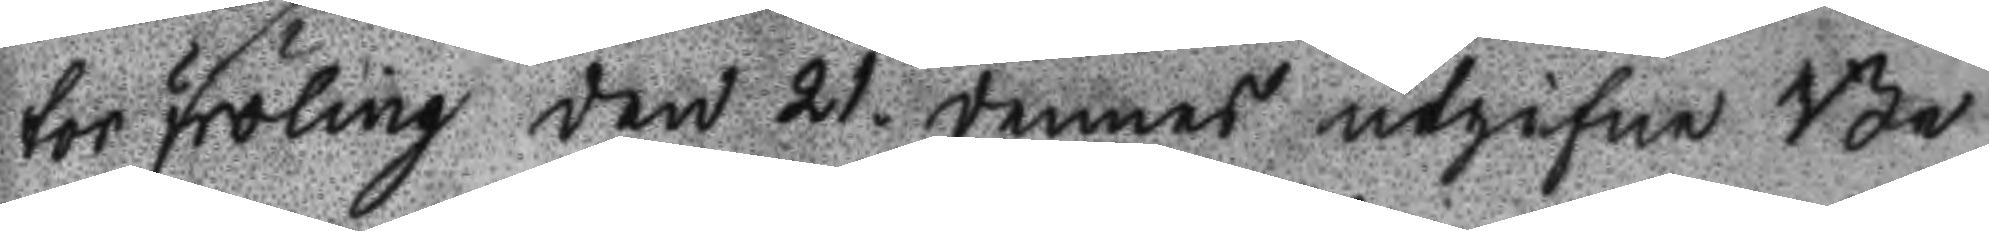tor Fröling den 21. dennes utgifne Be
